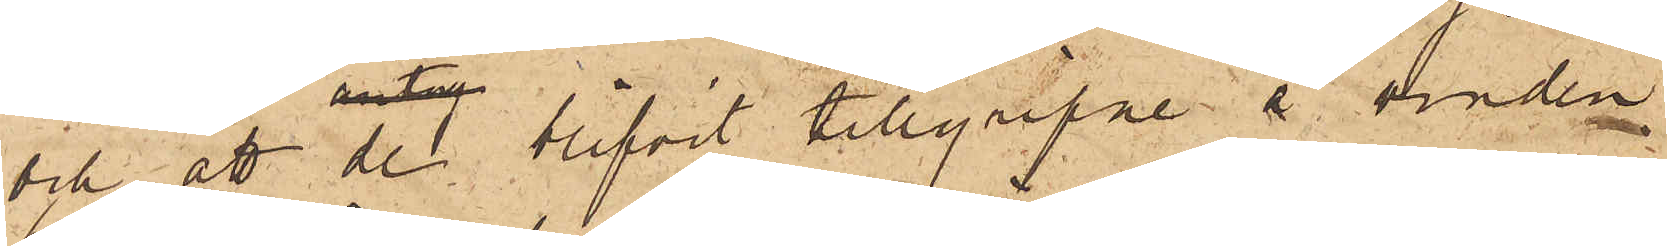och att de blifvit tillgripne å vinden
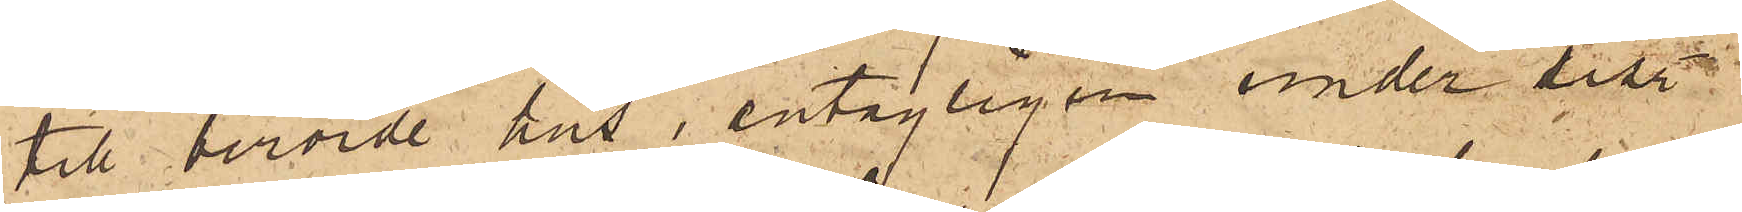till berörde hus, antagligen under tiden
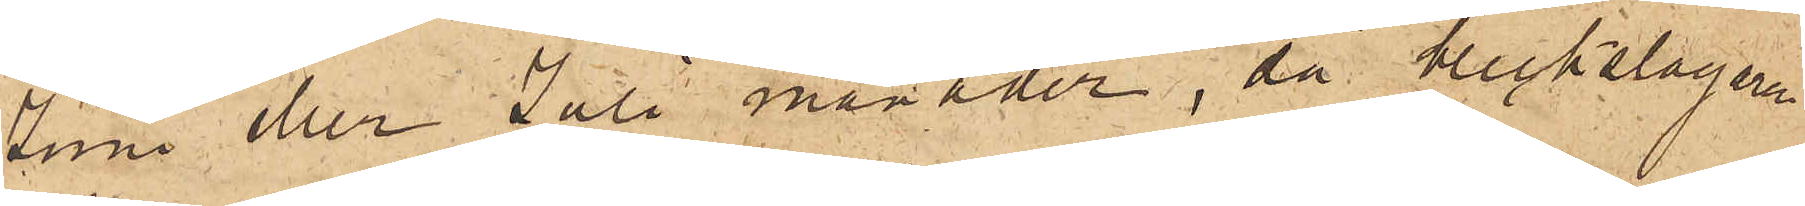Juni eller Juli månader, då bleckslagaren
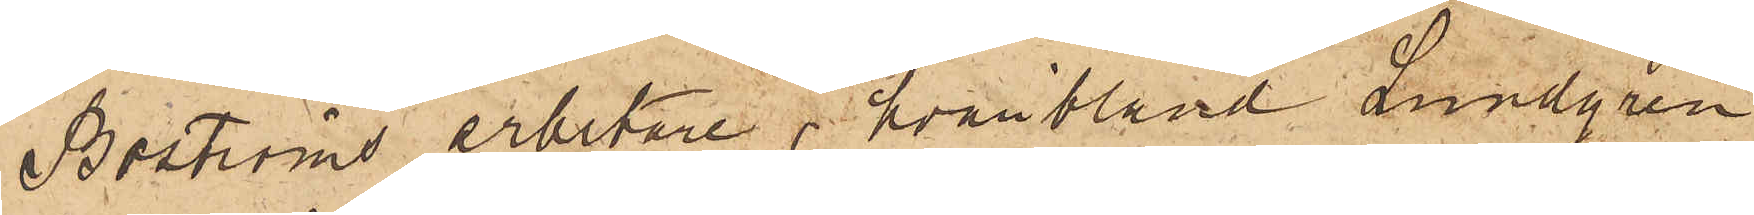Boströms arbetare, hvaribland Lundgren
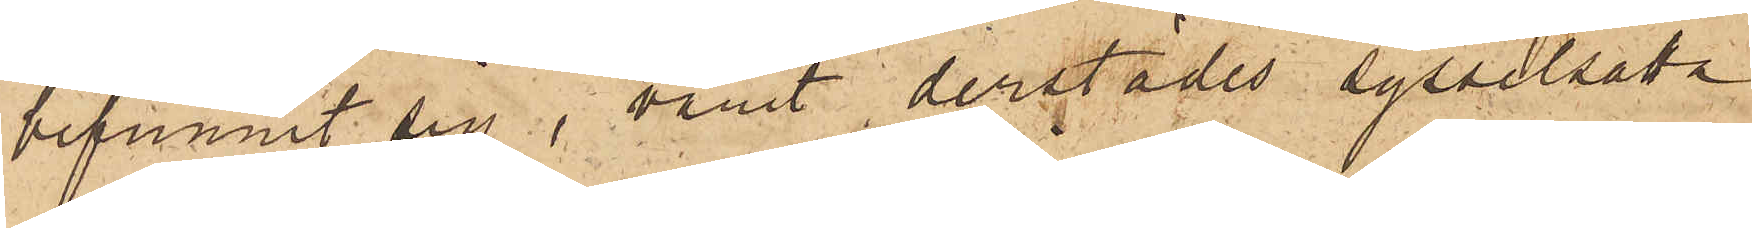befunnit sig, varit derstädes sysselsatta
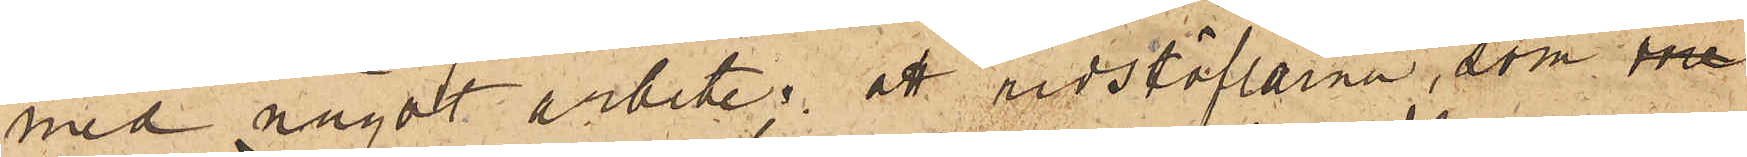med något arbete; att ridstöflarna, som me
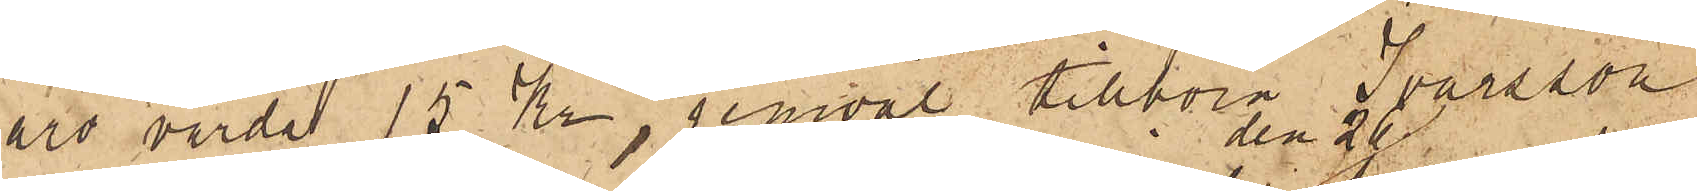äro värda 15 Kr, jemväl tillhöra Ivarsson
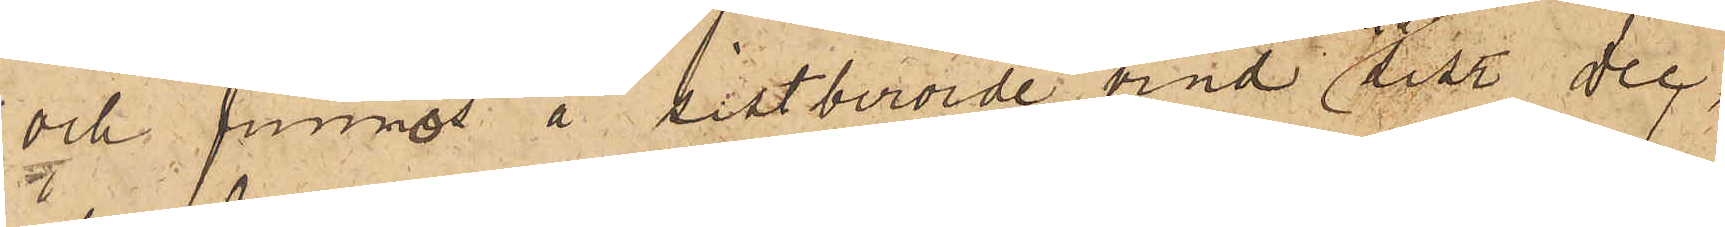och funnos å sistberörde vind den 26 sist. Dec,
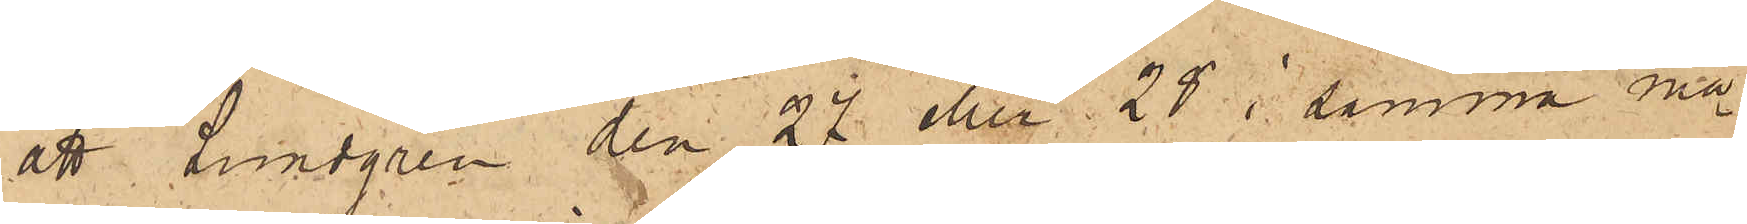att Lundgren den 27 eller 28 i samma må¬
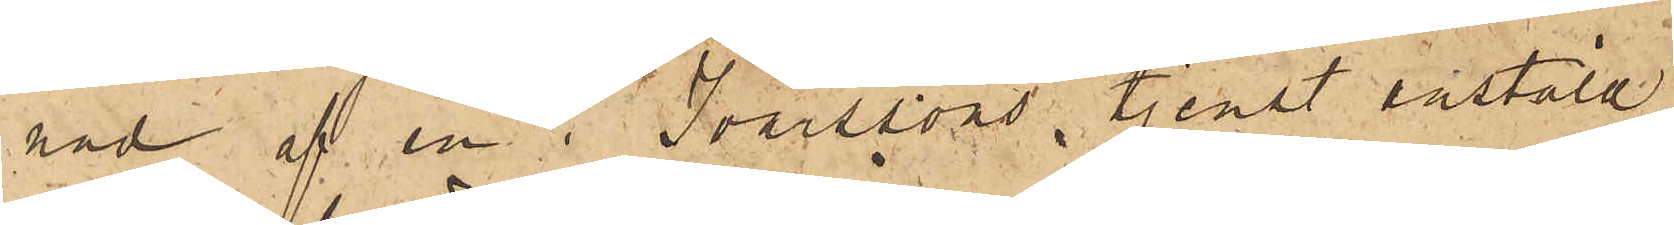nad af en i Ivarssons tjenst anstäld
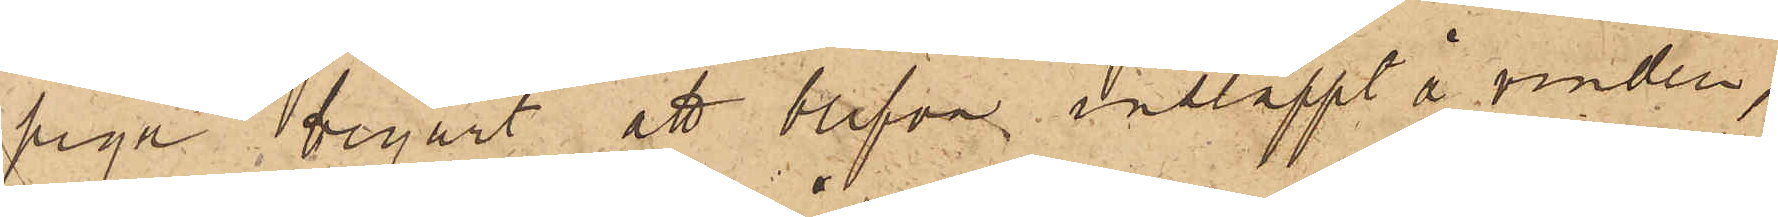piga begärt att blifva insläppt å vinden,
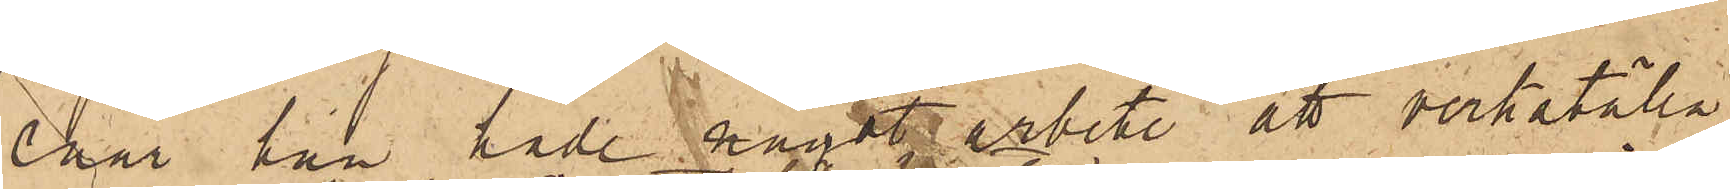enär han hade något arbete att verkställa
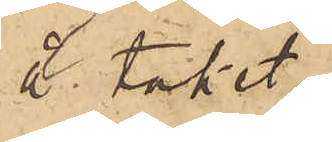å taket;
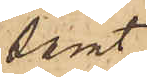samt
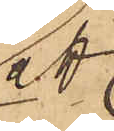att
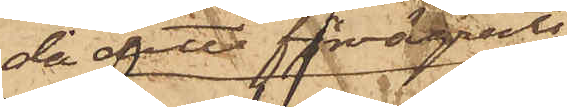då detta förvägrades
